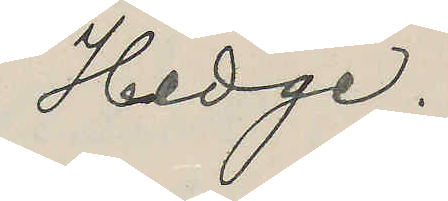Hedge.
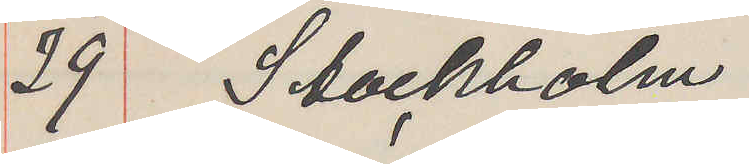29 Stockholm
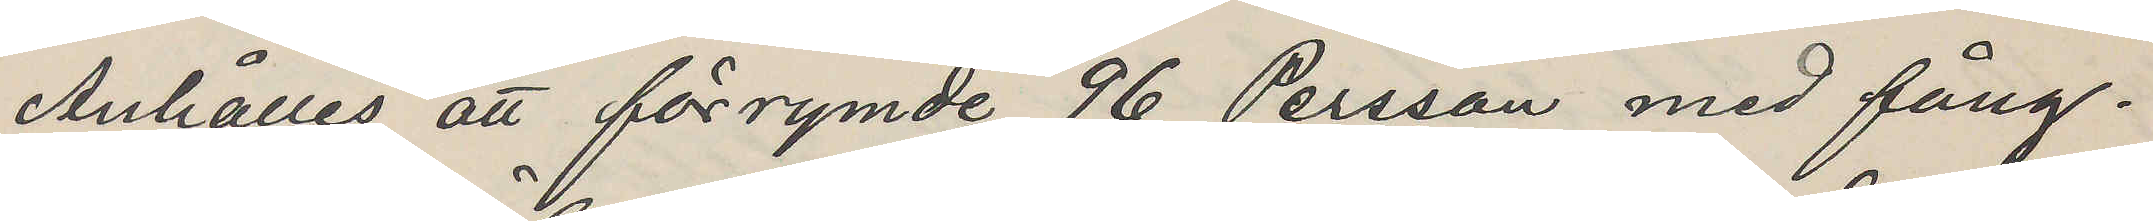Anhålles att förrymde 96 Persson med fång¬
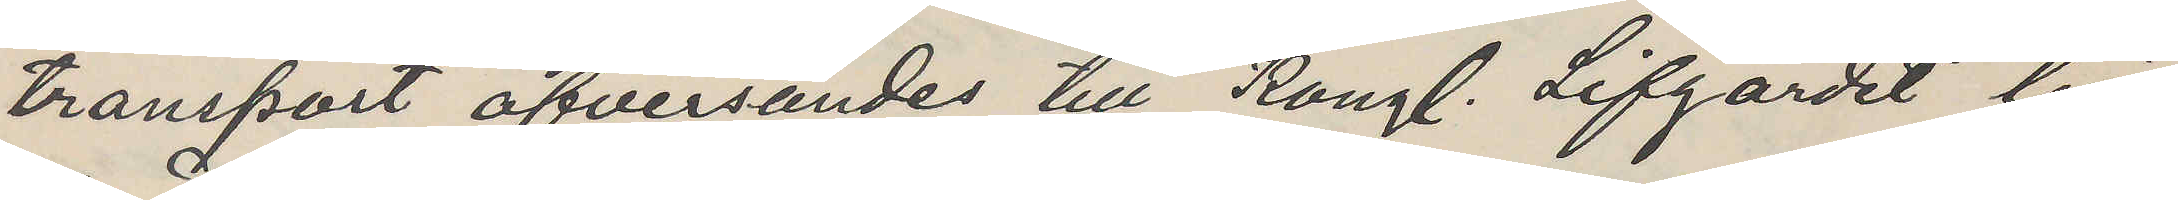transport öfversändes till Kongl. Lifgardet till
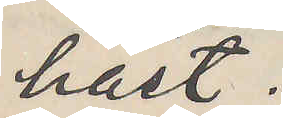häst.
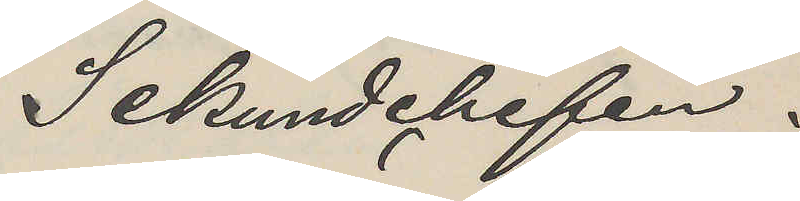Sekundchefen.
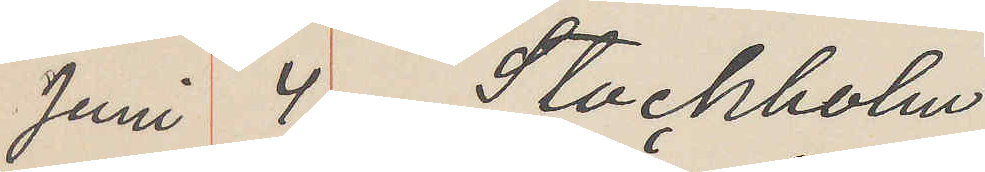Juni 4 Stockholm
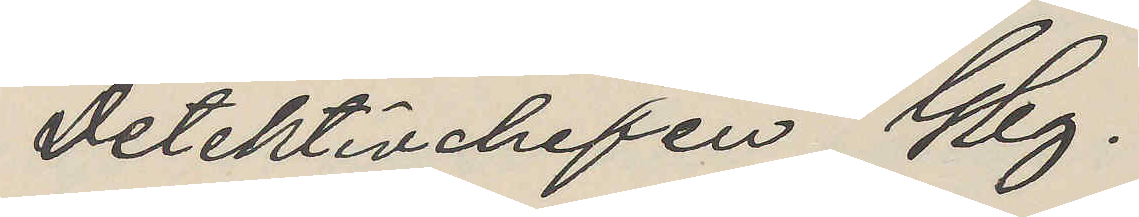Detektivchefen Gbg.
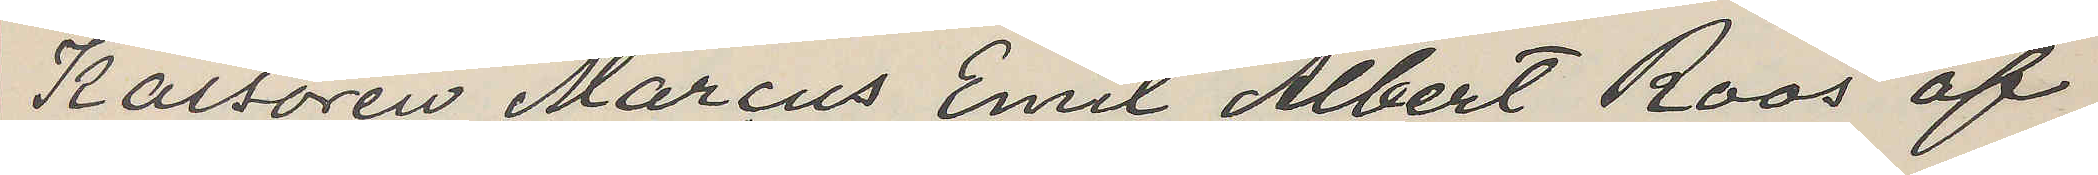Kassören Marcus Emil Albert Roos af
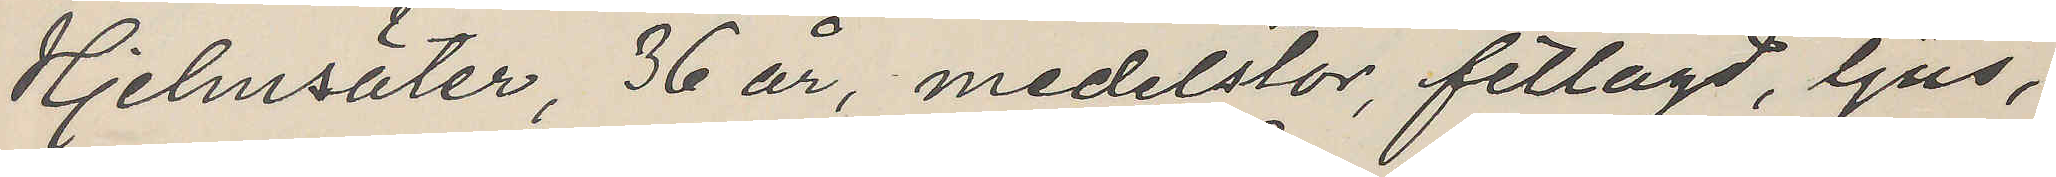Hjelmsäter, 36 år, medelstor, fetlagd, ljus,
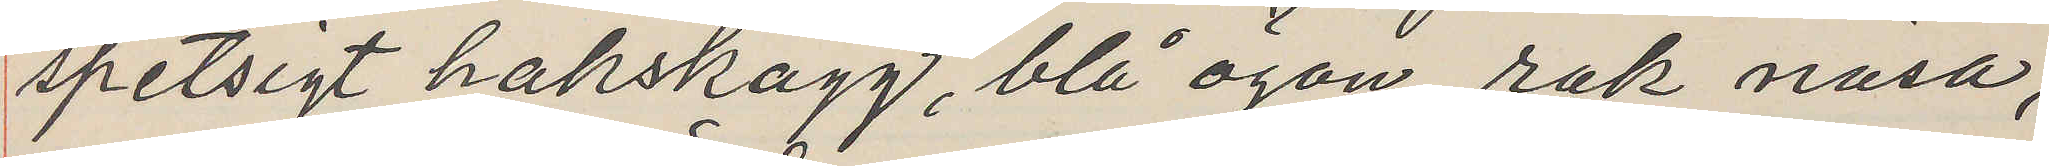spetsigt hakskägg, blå ögon, rak näsa,
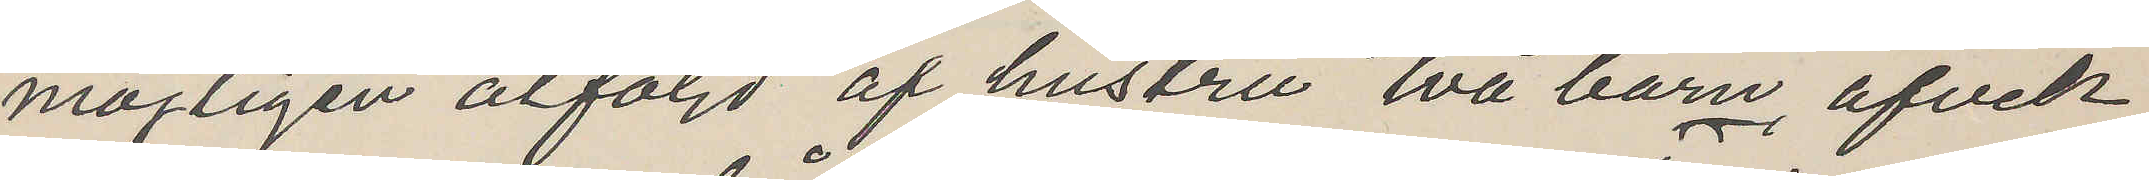möjligen åtföljd af hustru två barn, afvek
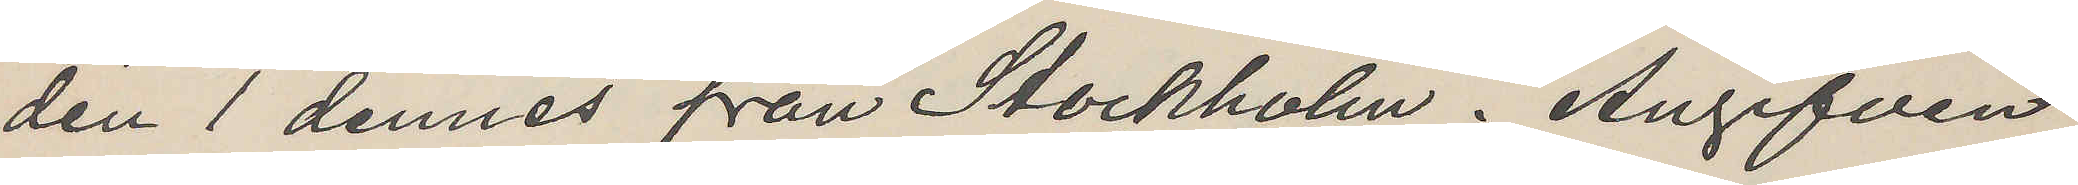den 1 dennes från Stockholm. Angifven
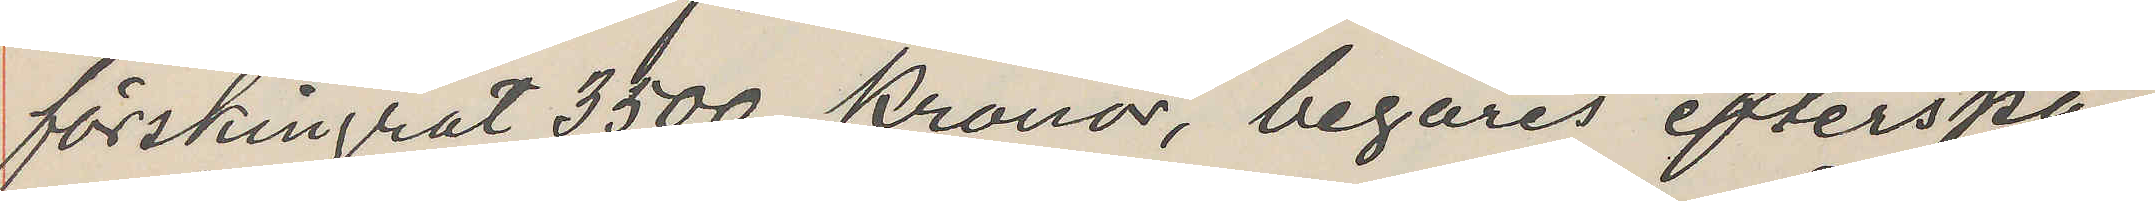förskingrat 3,500 Kronor, begäras efterspa¬
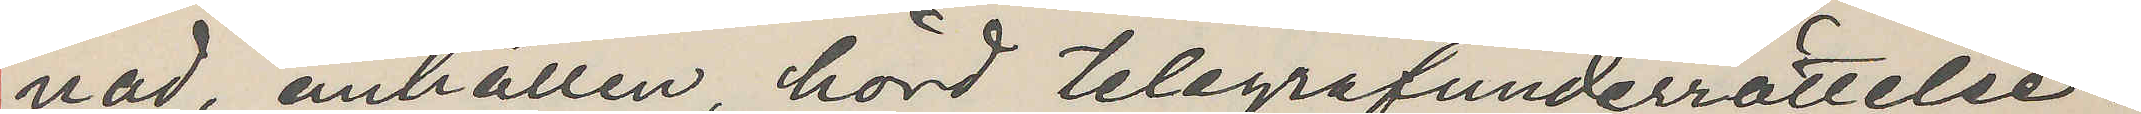nad, anhållen, hörd telegrafunderrättelse.
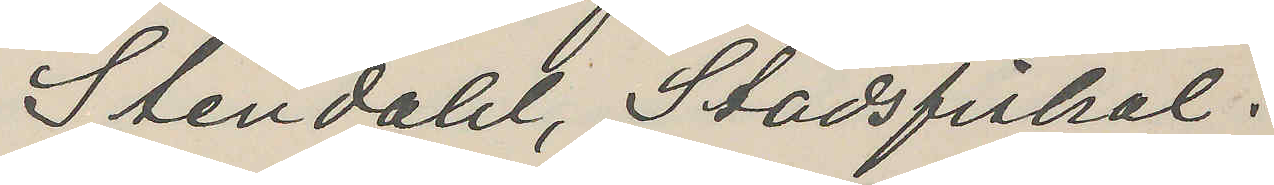Stendahl, Stadsfiskal.
